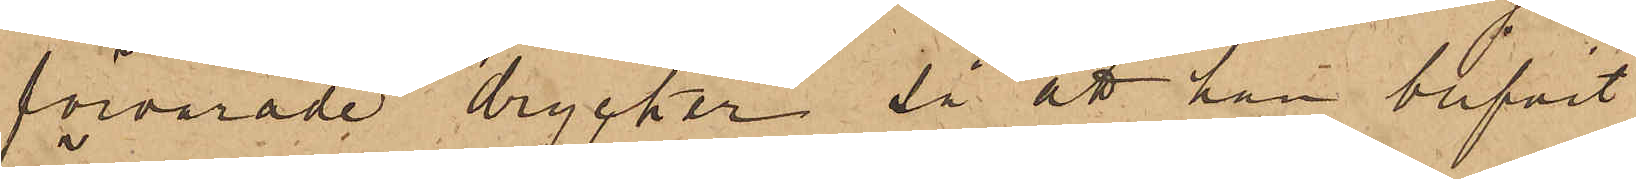förvarade drycker, så att han blifvit
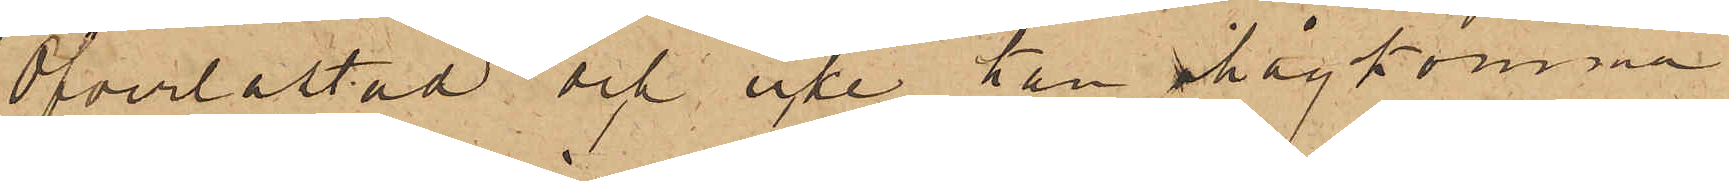öfverlastad och icke kan ihågkomma
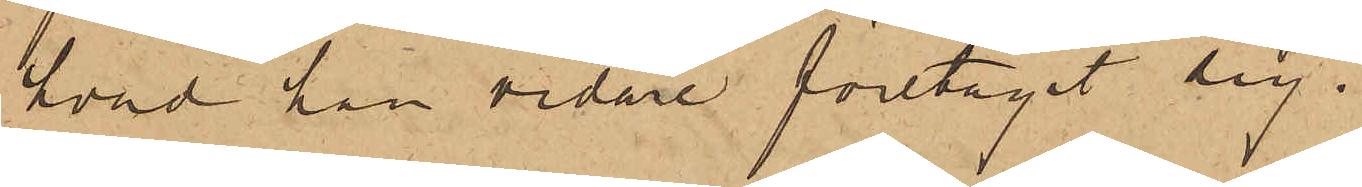hvad han vidare företagit sig.
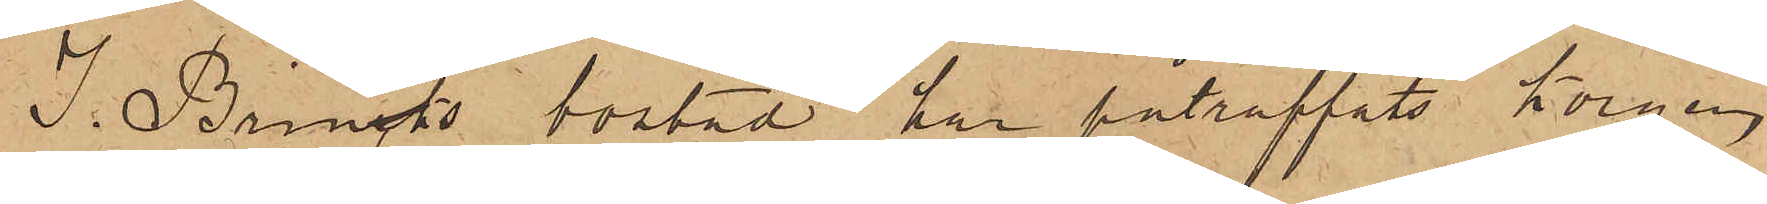I. Brinks bostad har påträffats Korgen
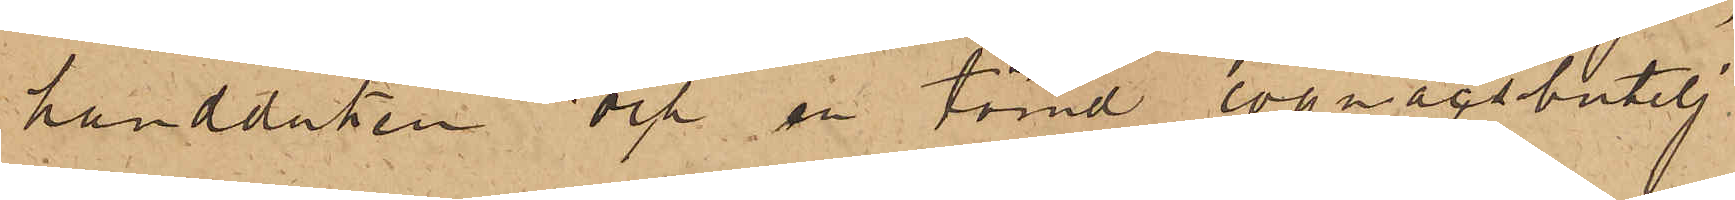handduken och en tömd cognacsbutelj
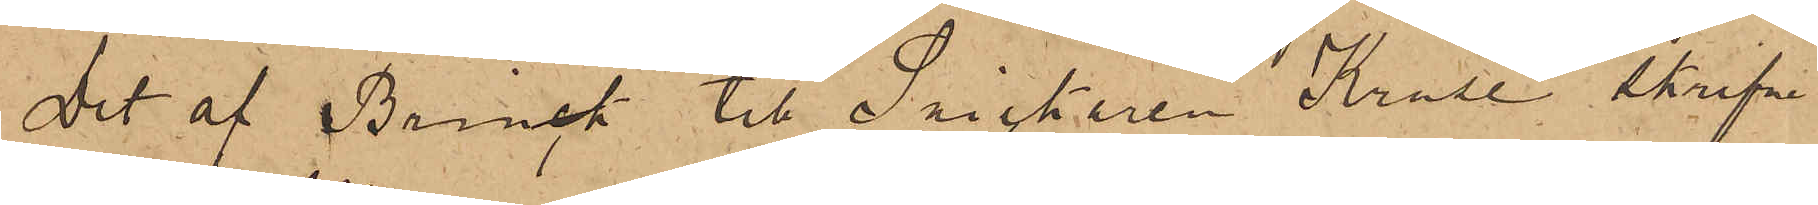Det af Brinck till Snickaren Kruse skrifne
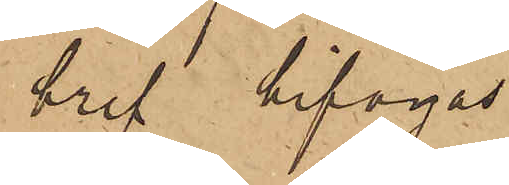bref bifogas.
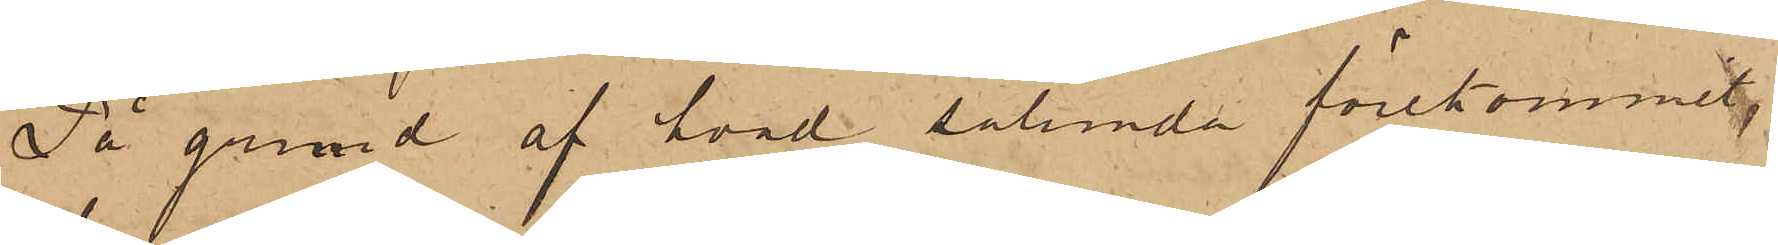På grund af hvad sålunda förekommit,
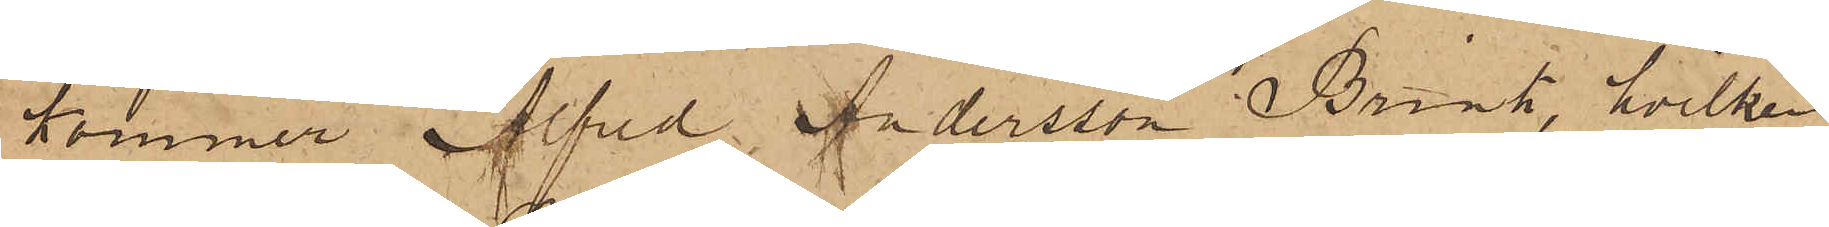kommer Alfred Andersson Brink, hvilken
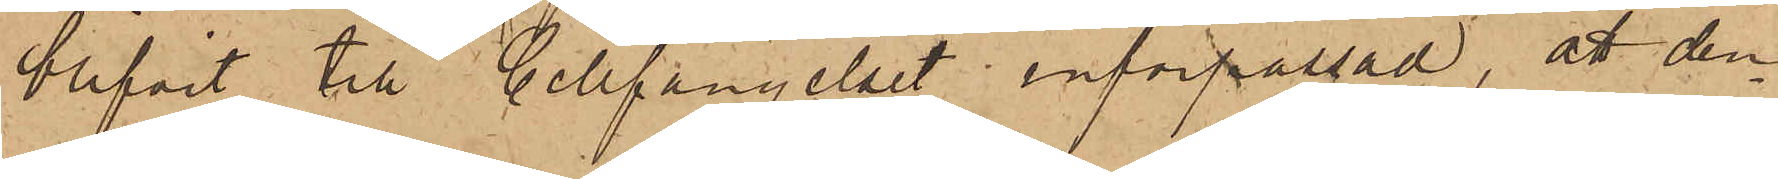blifvit till Cellfängelset införpassad, att den¬
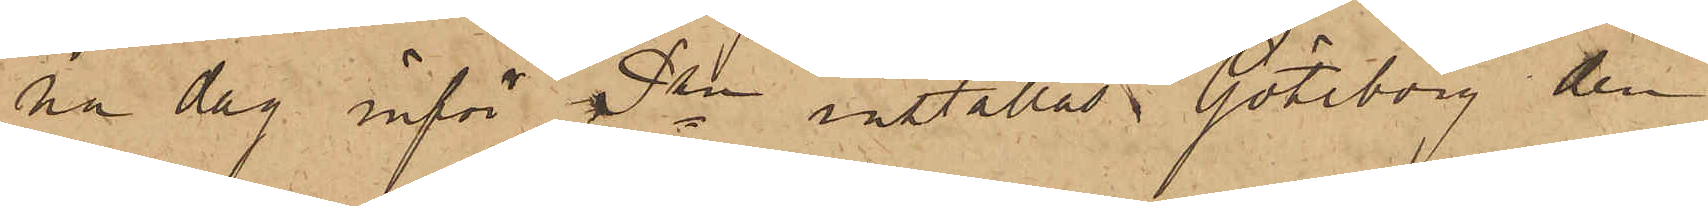na dag inför Pkn inställas. Göteborg den
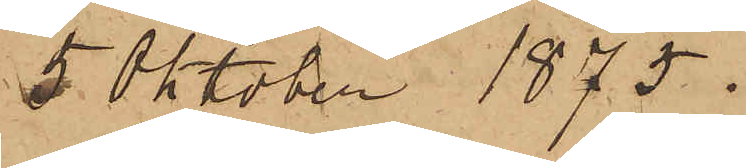5 Oktober 1875.
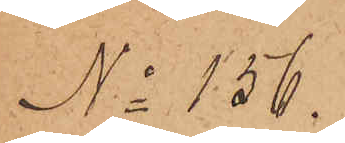No 156.
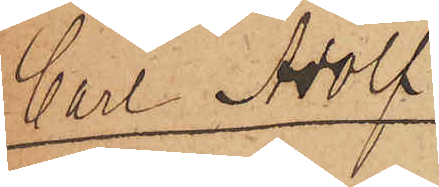Carl Adolf
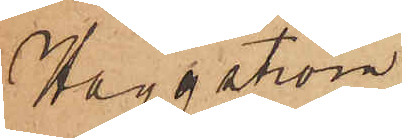Häggström.
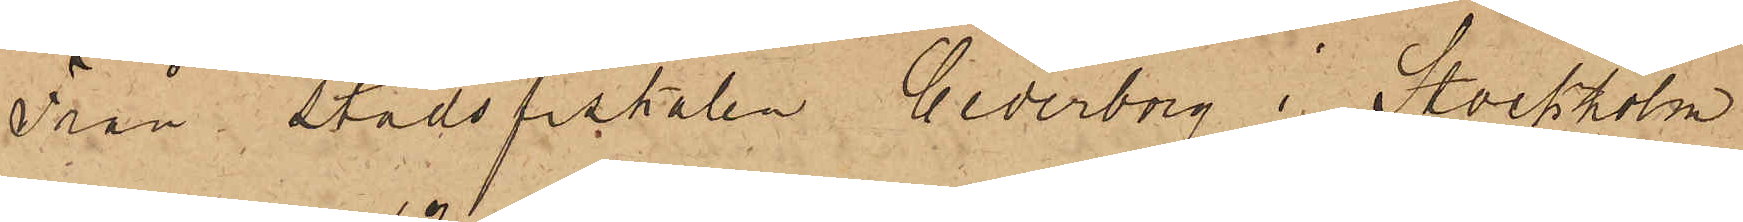Från Stadsfiskalen Cederborg i Stockholm
